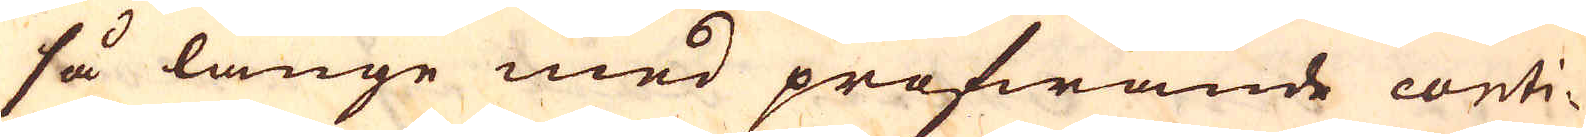så länge med profwande conti-
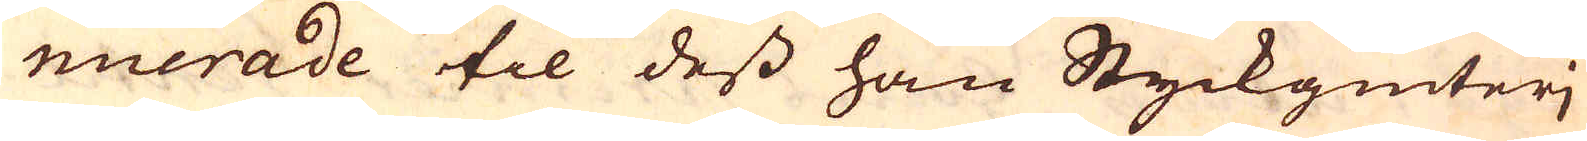nuerade til dess han Styckgiuteri
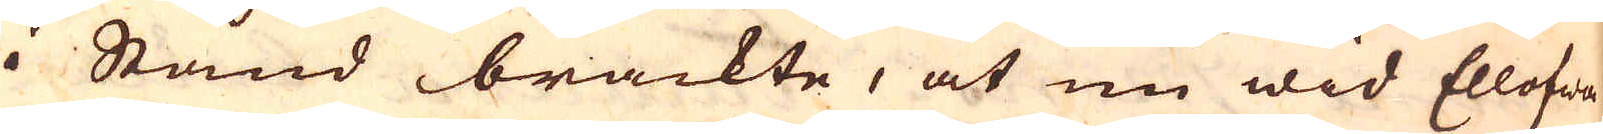i Stånd brackte, at nu wid Ellofwa
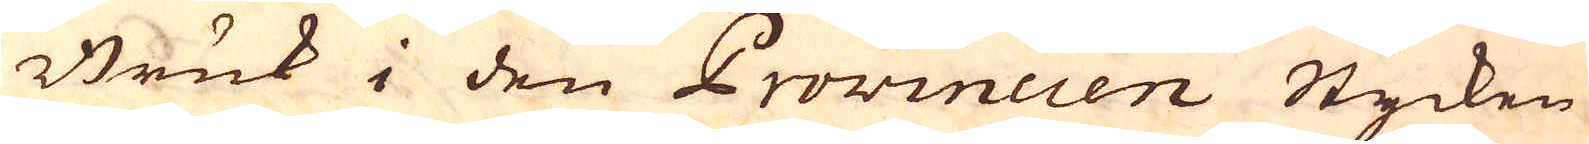Bruk i den Provincien Stycken
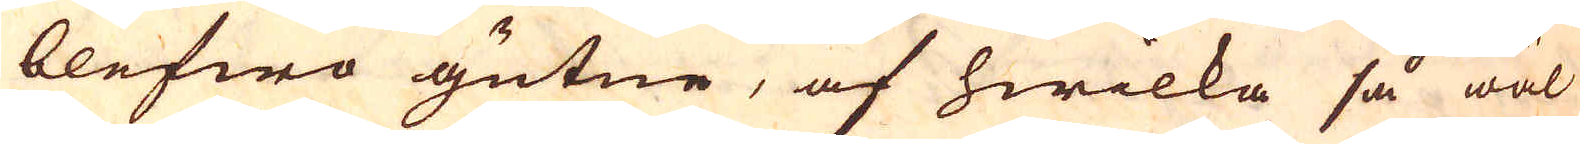blefwo gutne, af hwilka så wäl
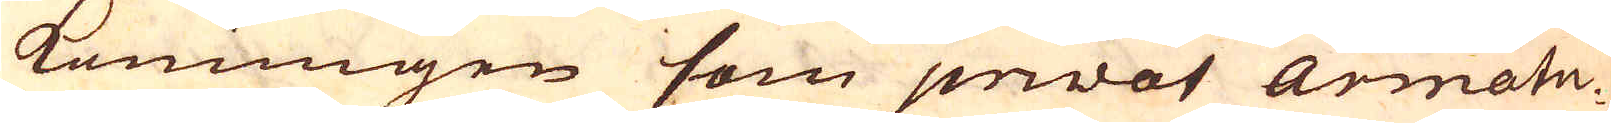konungen som privat Armatu-
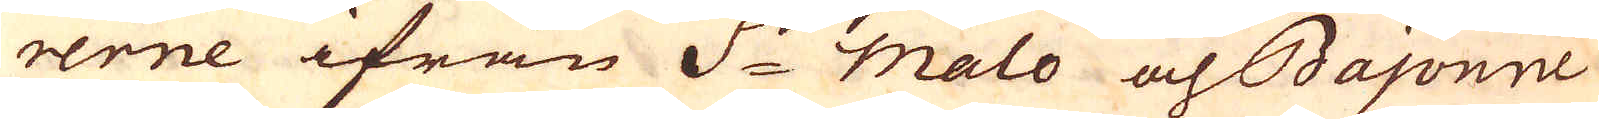rerne ifrån S:t Malo och Bajonne
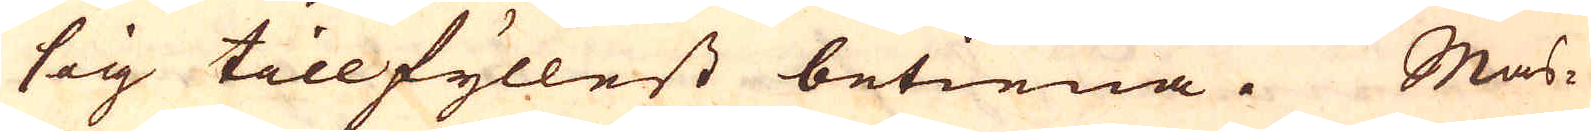sig tillfyllest betiena. Mas-
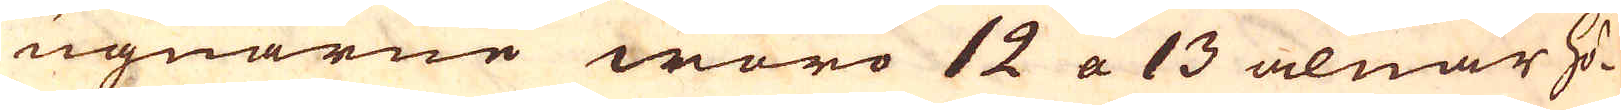ugnarne woro 12 a 13 alnar hö-
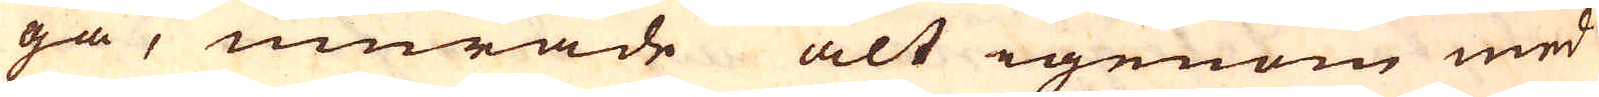ga, murade alt igenom med
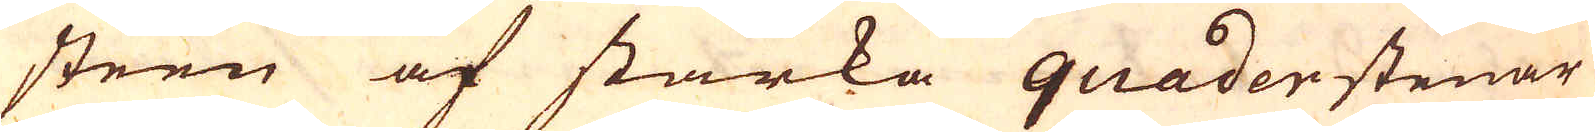steen af starka quaderstenar
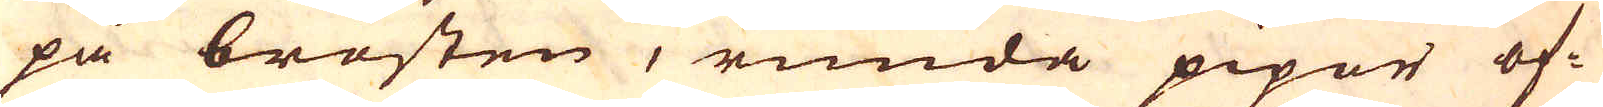på brösten, runda pipor of-
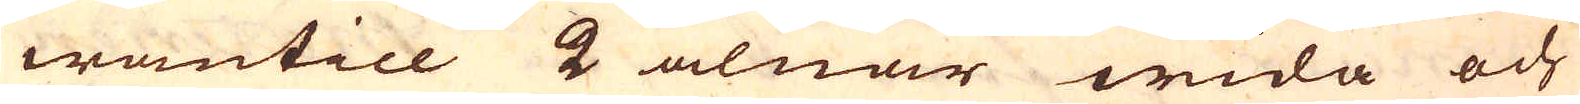wantill 2 alnar wida och
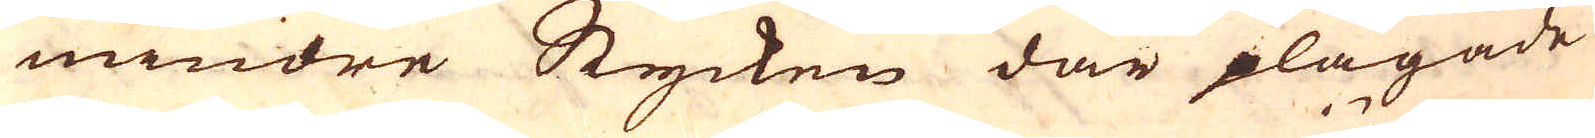mindre Stycken där plägade
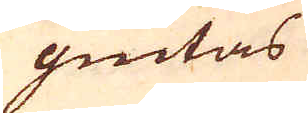giutas
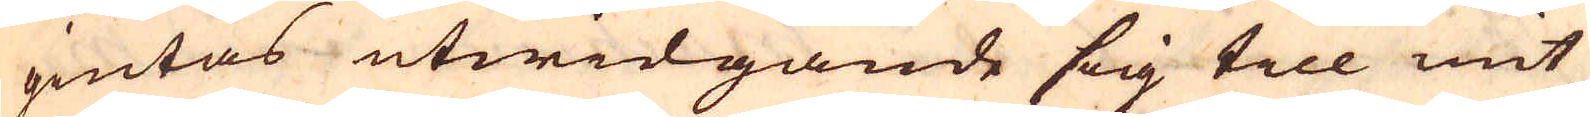giutas utwidgande sig till mit
